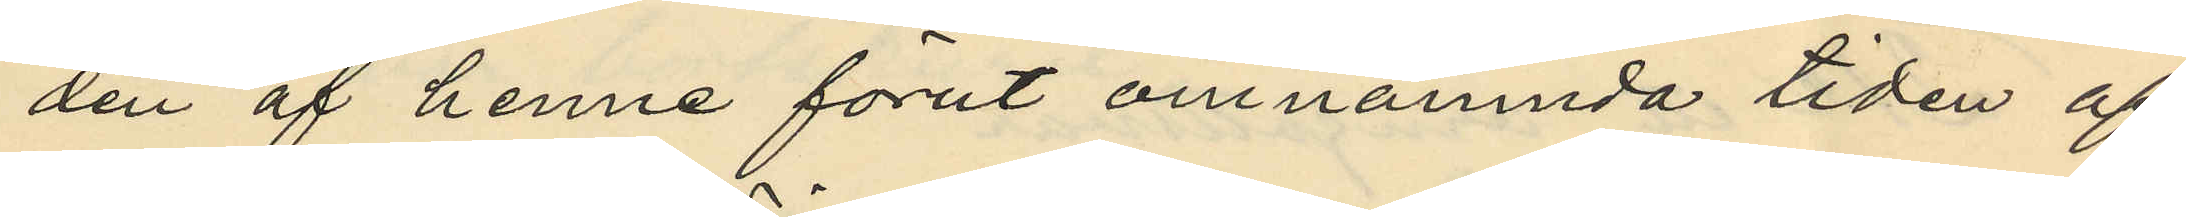den af henne förut omnämnda tiden af
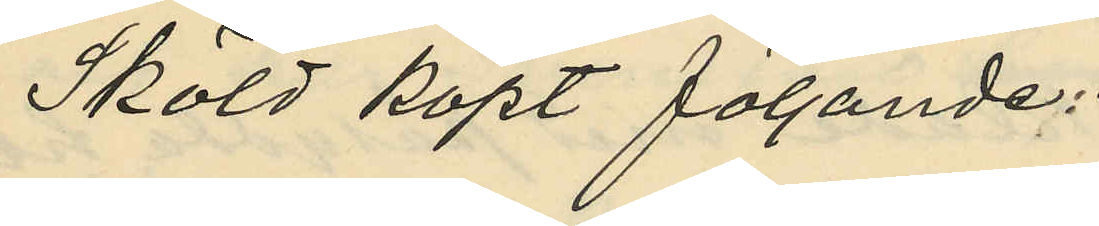Sköld köpt följande:
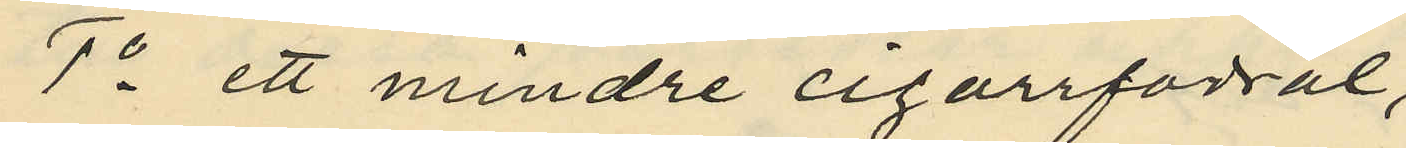1o ett mindre cigarrfodral,
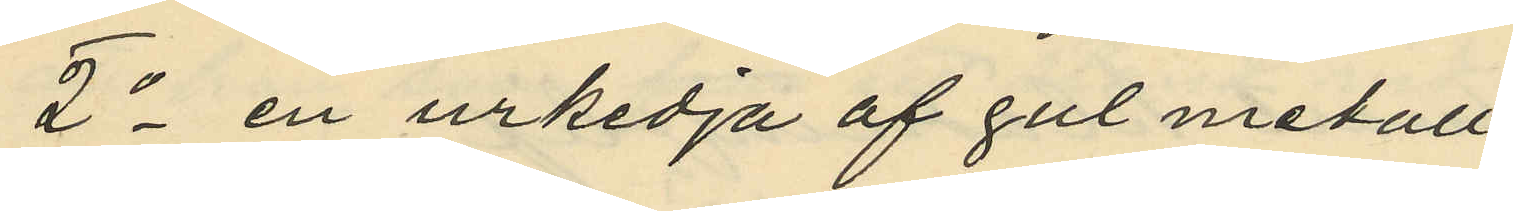2o en urkedja af gul metall
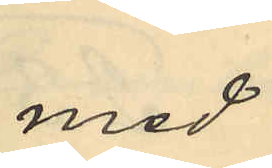med
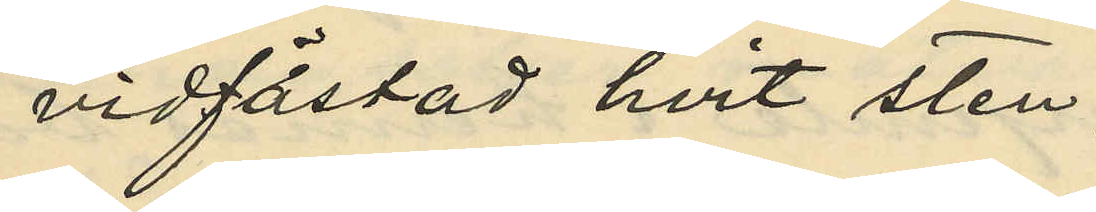vidfästad hvit sten;
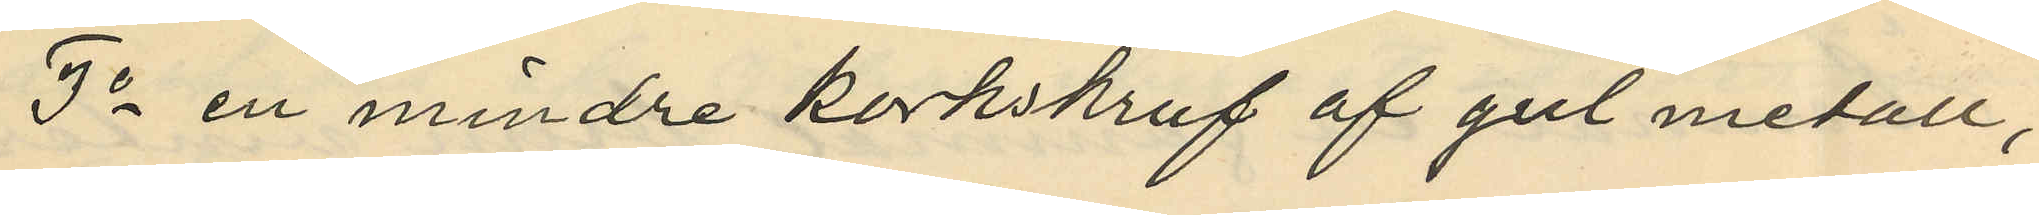3o en mindre korkskruf af gul metall,
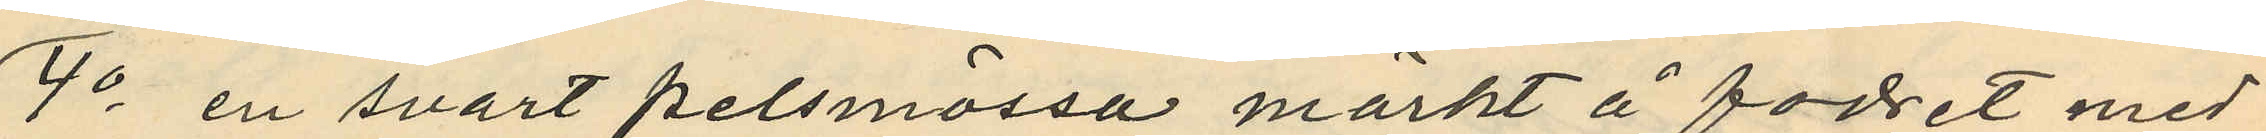4o en svart pelsmössa märkt å fodret med
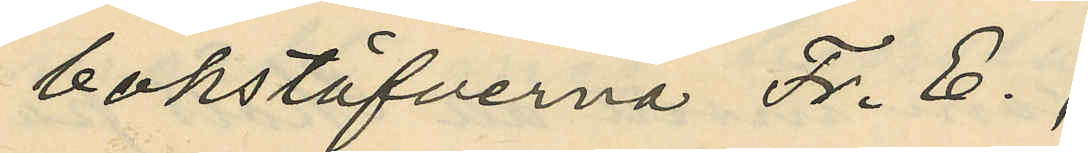bokstäfverna Fr. E.,
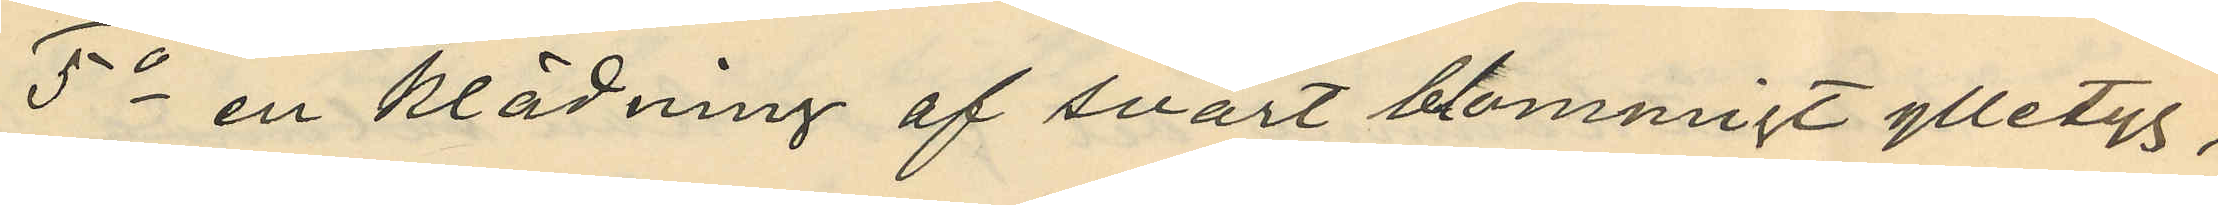5o en klädning af svart blommigt ylletyg,
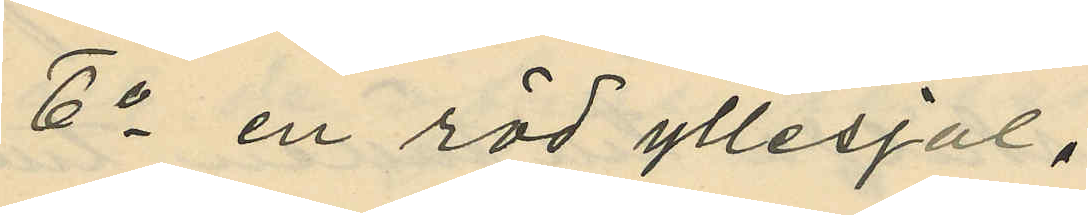6o en röd yllesjal,
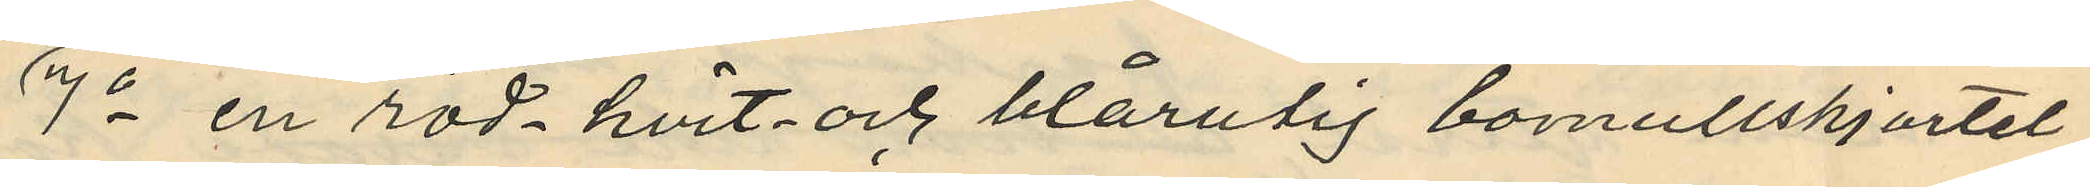7o en röd hvit och blårutig bomullskjortel
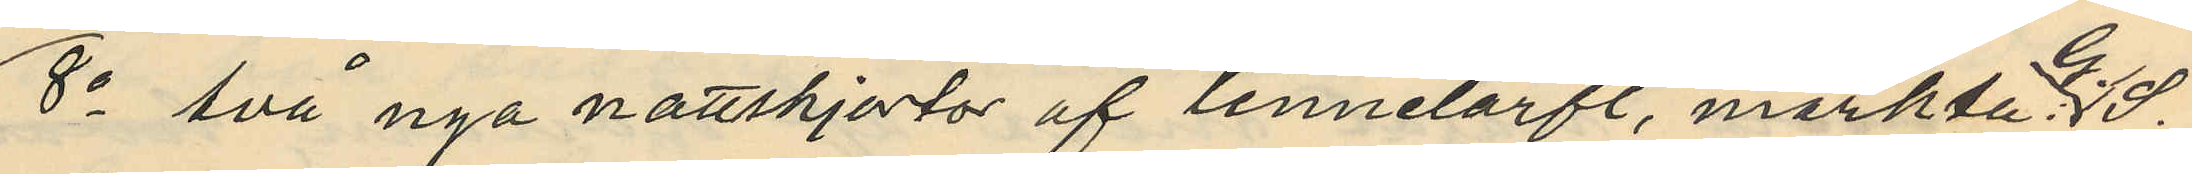8o två nya nattskjortor af linnelärft, märkt G. J.,
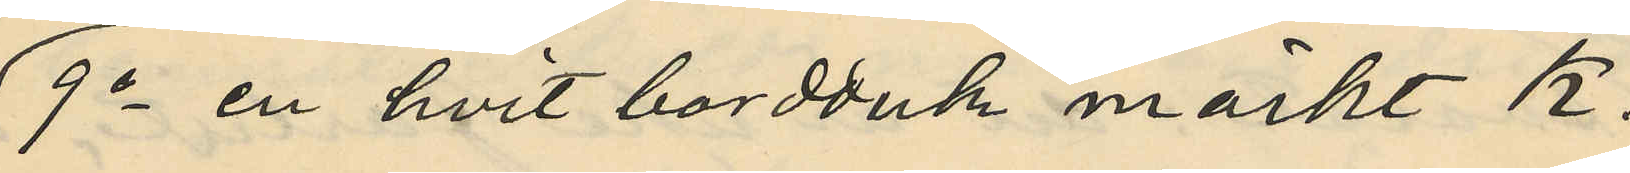9o en hvit bordduk märkt K.
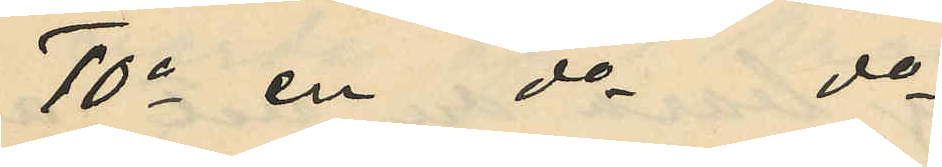10o en do do
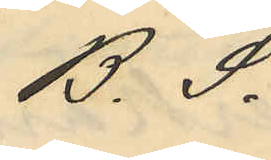B. S.
